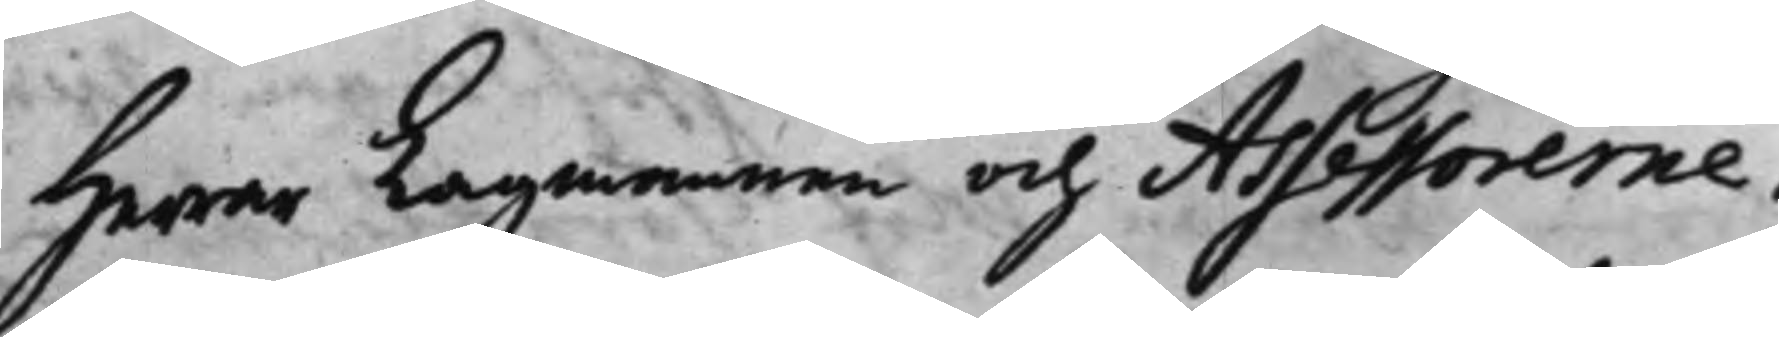Herrar Lagmannen och Assessorerne:
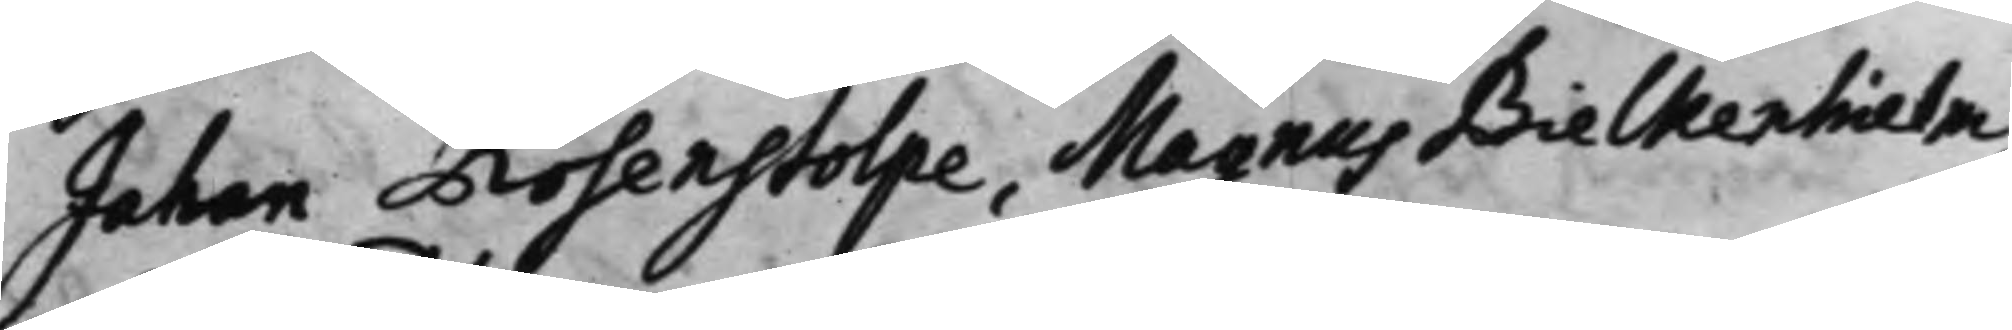Johan Rosenstolpe, Magnus Bielkenhielm,
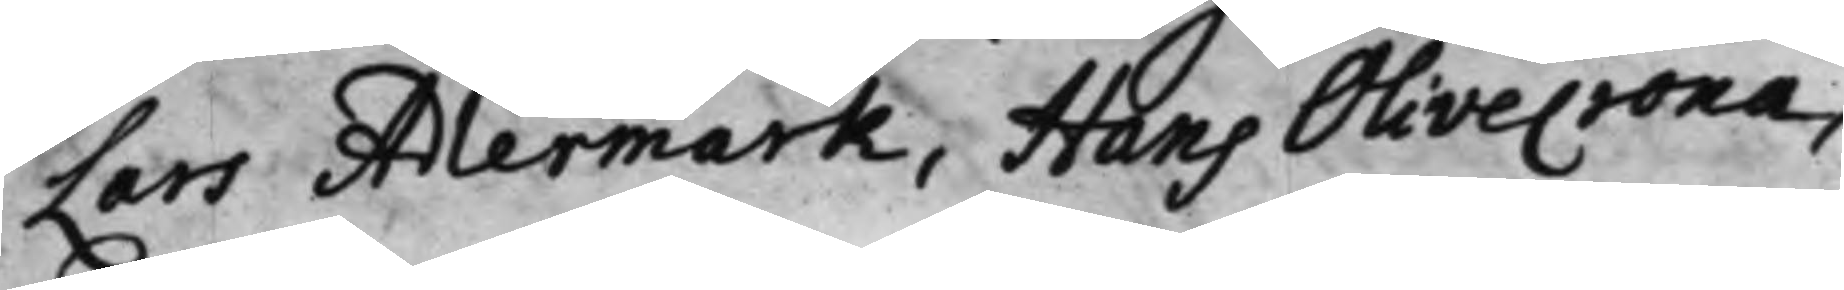Lars Adlermark, Hans Olivecrona,
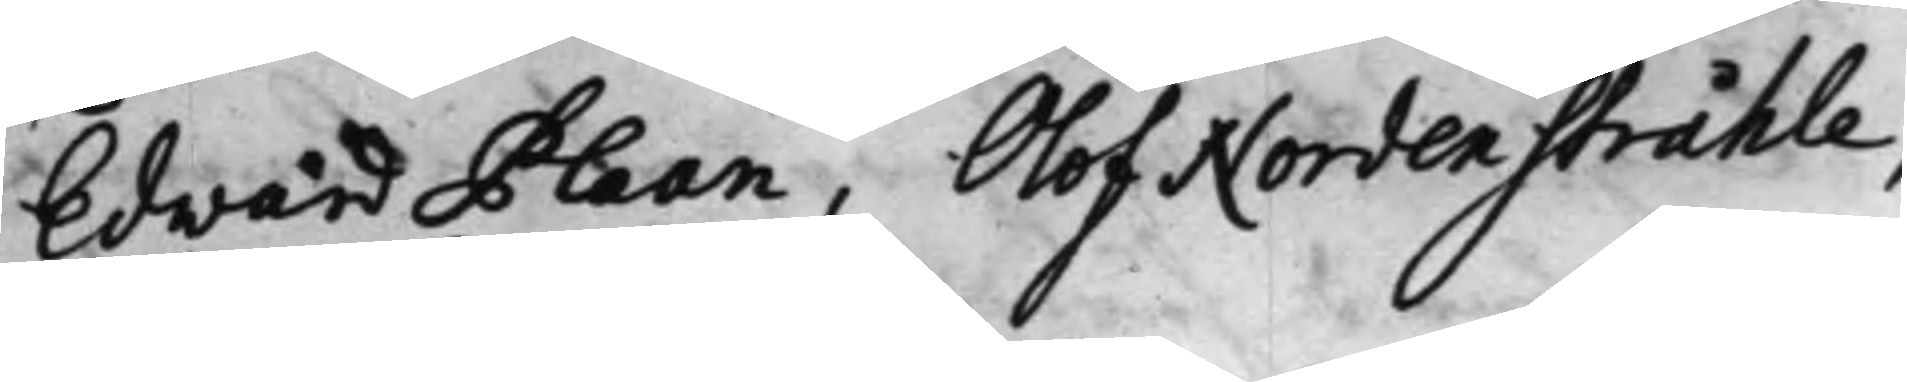Edvard Plaan, Olof Nordenstråhle,
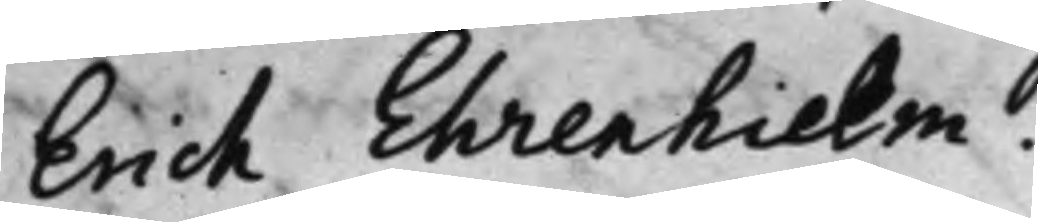Erich Ehrenhielm.
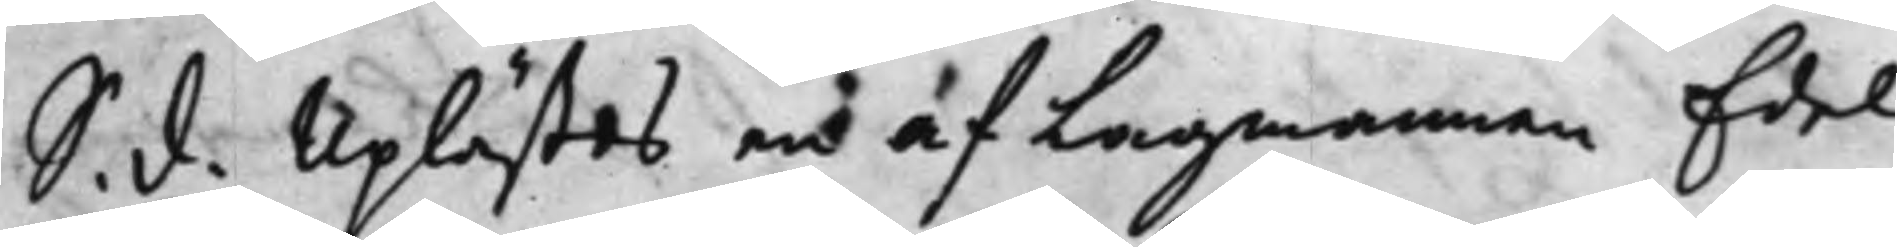S. d. Uplästes och af Lagmannen Edel
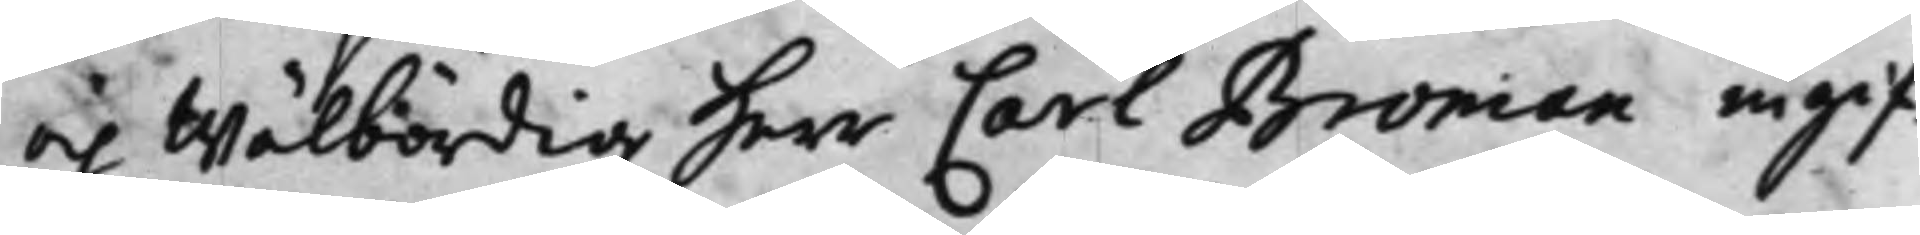och Wälbördig Herr Carl Broman ingif¬
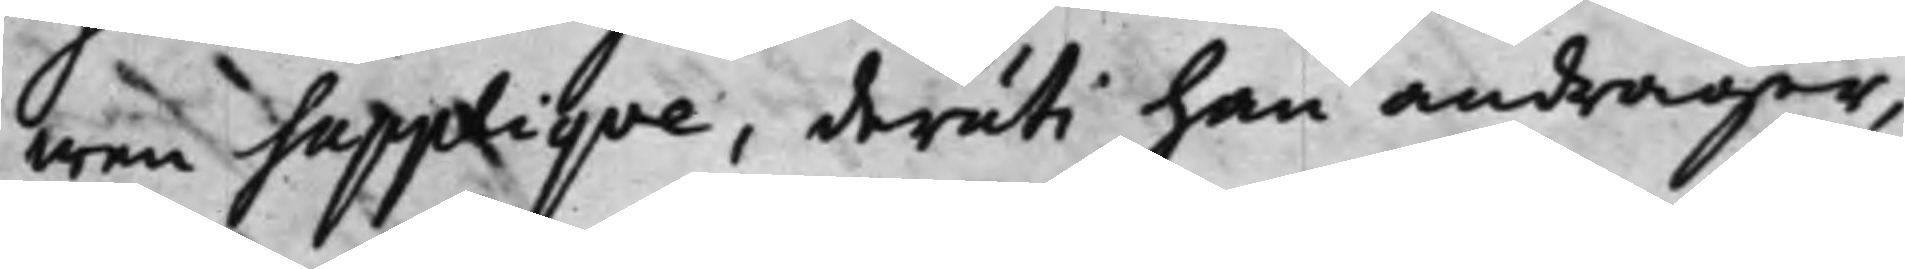wen Suppliqve, deruti han andrager,
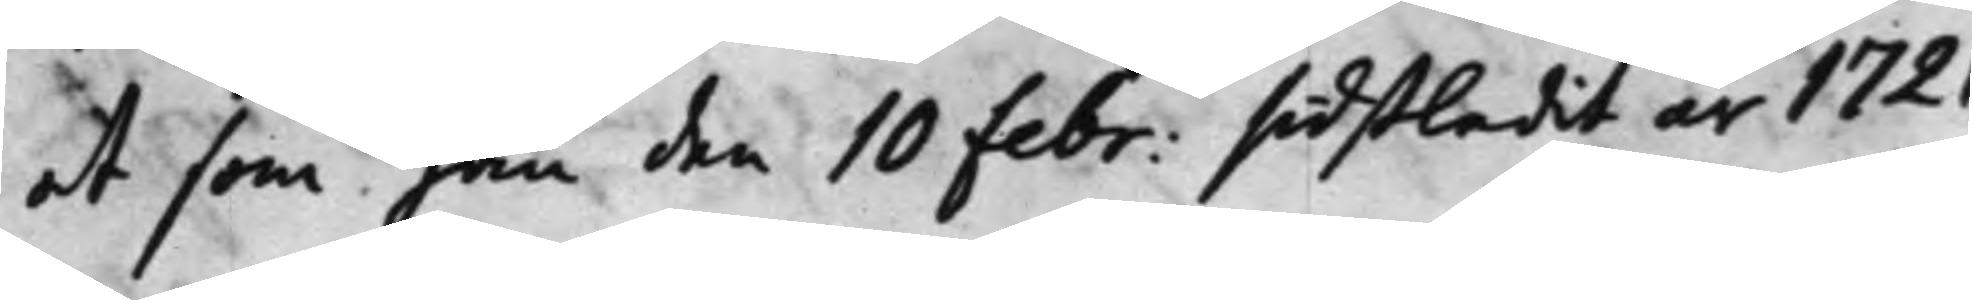at som han den 10 Febr: sidstledit år 1721
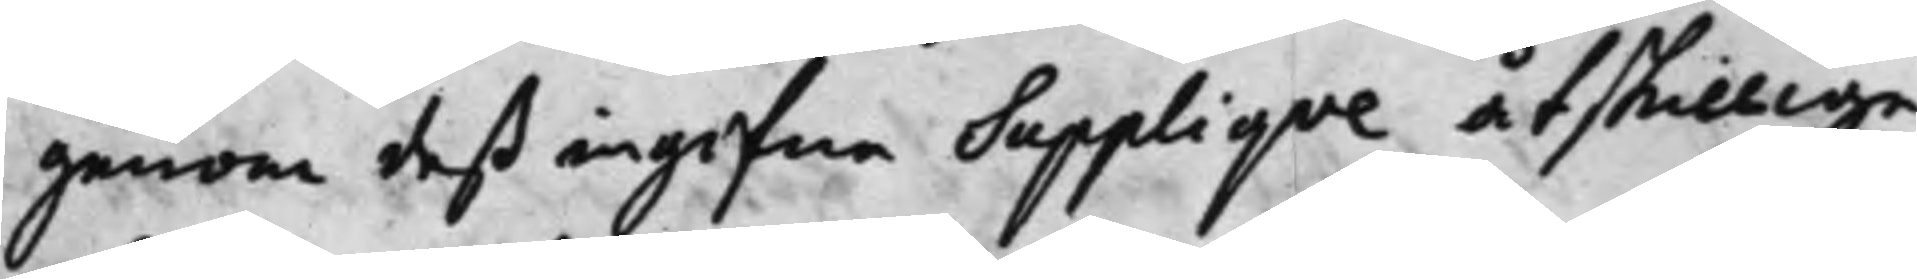genom deß ingifne Suppliqve åtskillige
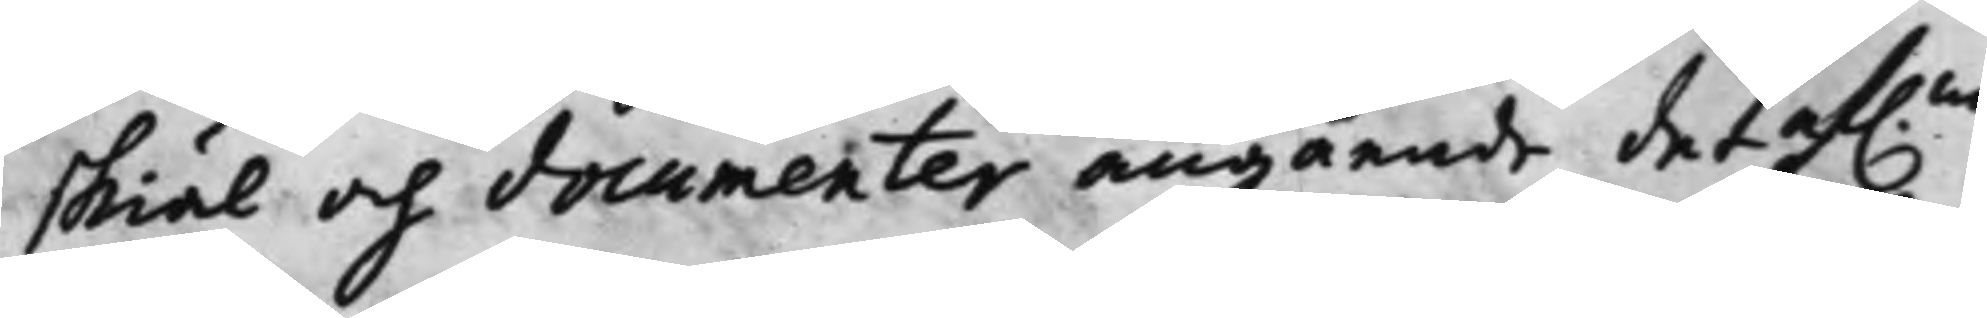skiäl och documenter angående det af.ne
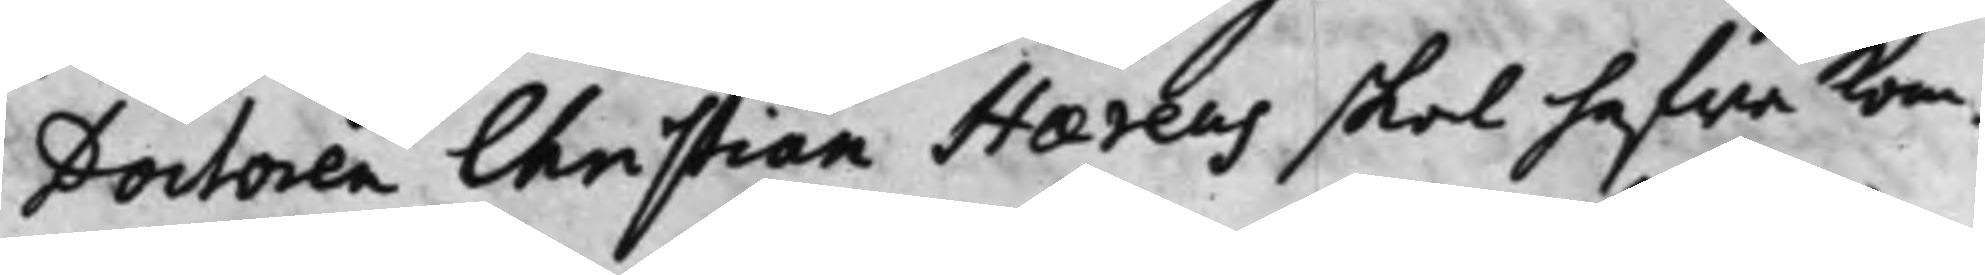Doctoren Christian Haereus skal hafwa Kom¬
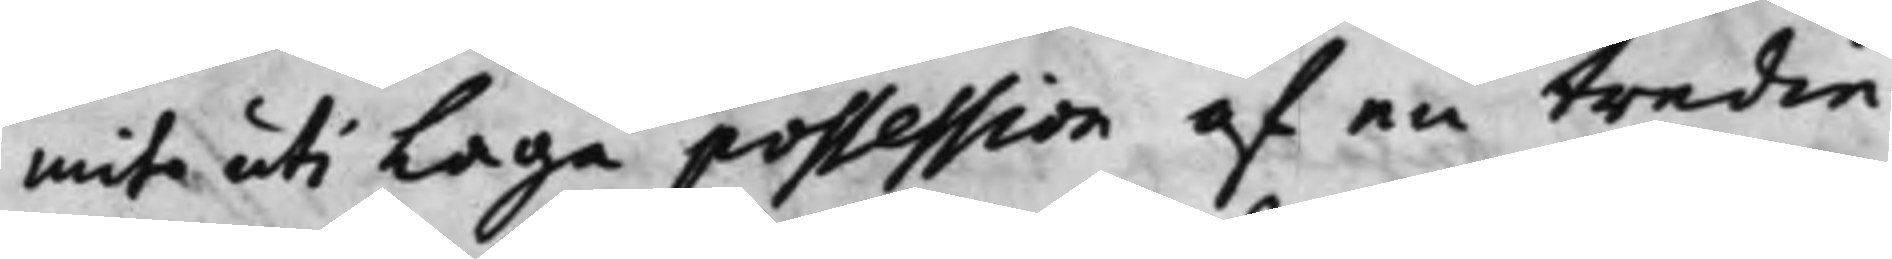mit uti Laga possession af en tredie
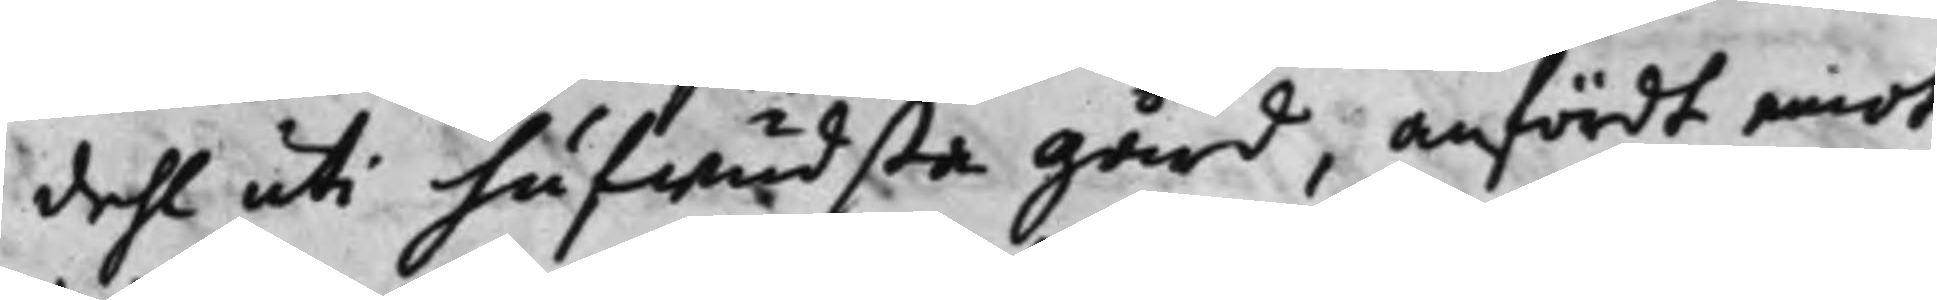dehl uti hufwudsta gård, anfördt emot
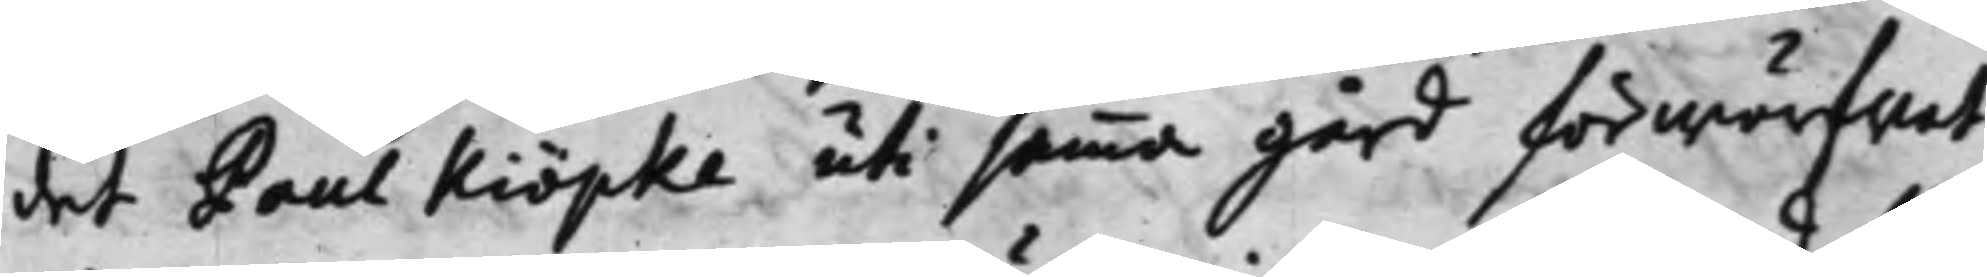det Paul Kiöpke uti samma gård förwärfwat
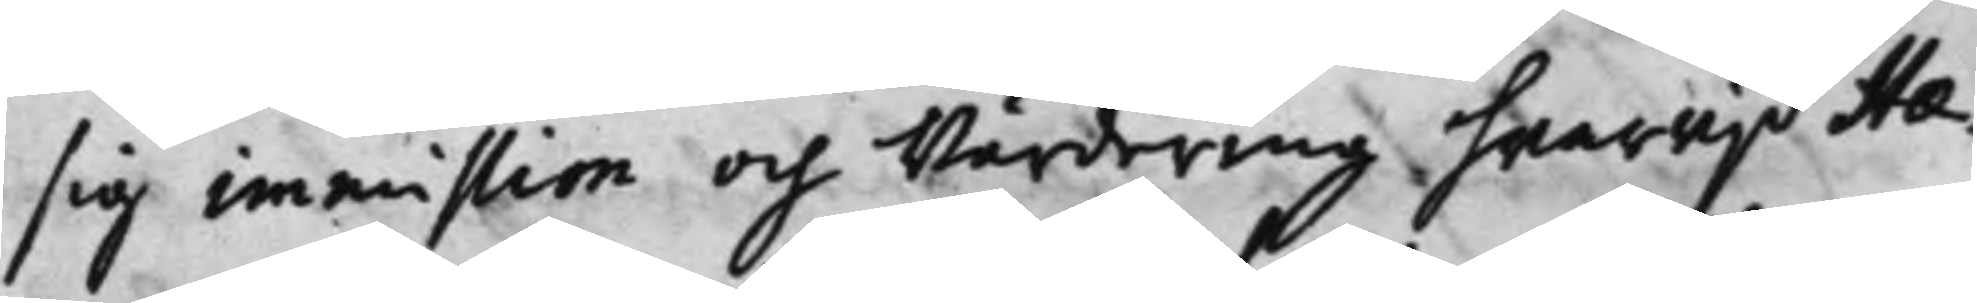sig immission och Wärdering hwarwijd Hae¬
